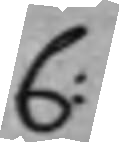C:
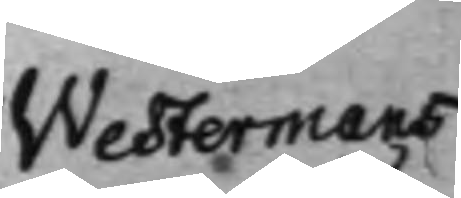Westermans
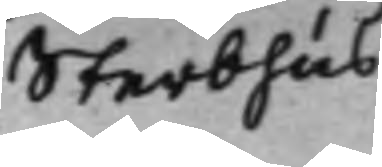Sterbhus
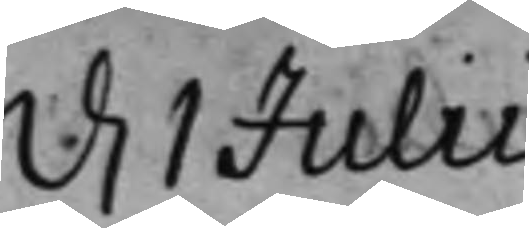d. 1 Julii
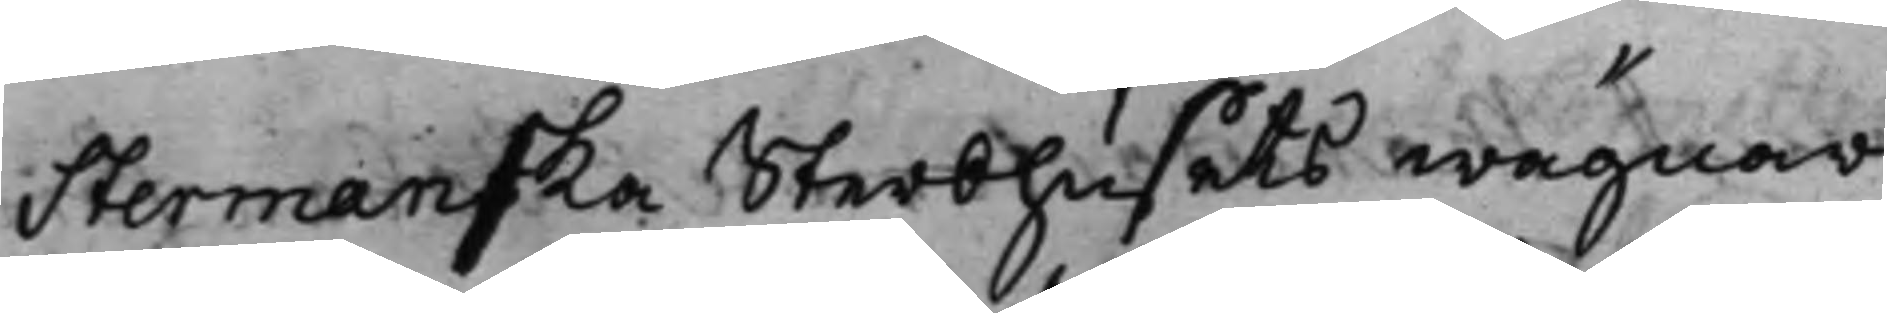Stermanska Sterbhusets wägnar
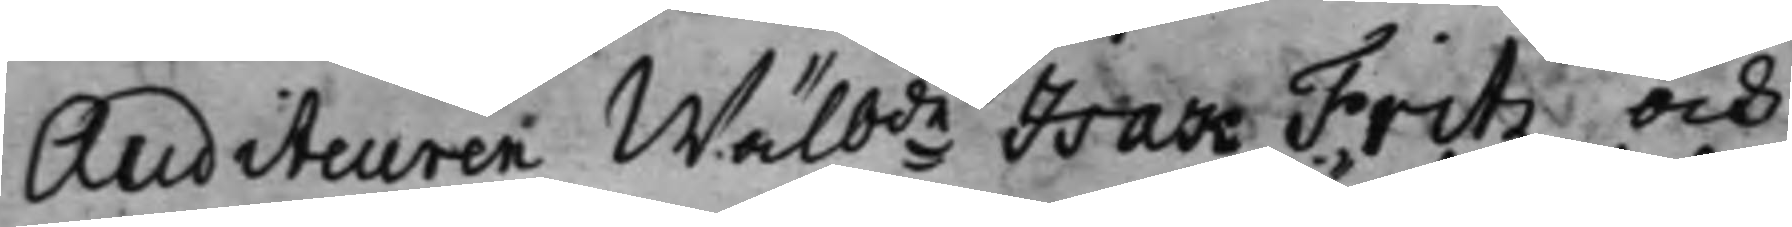Auditeuren Wälb:de Isak Fritz och
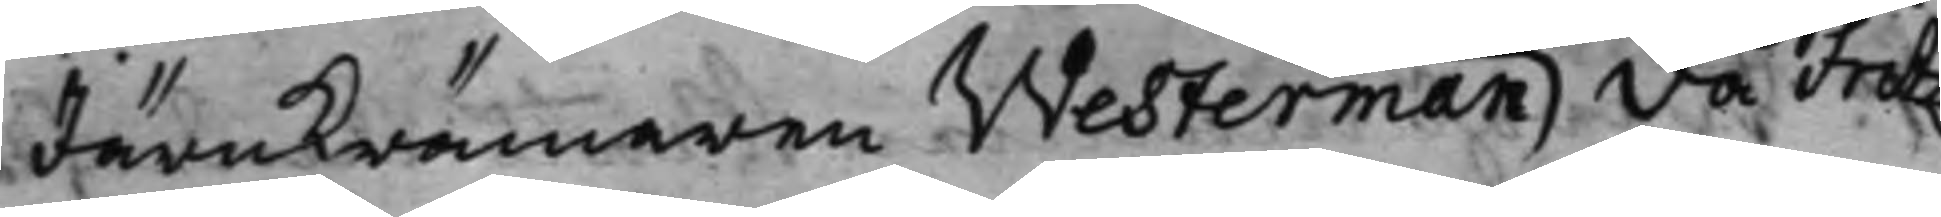Järnkrämaren Westerman då Fritz
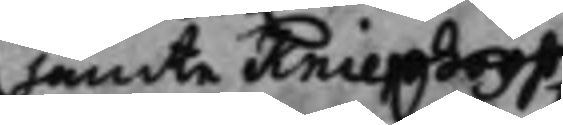jämte Kniephooff
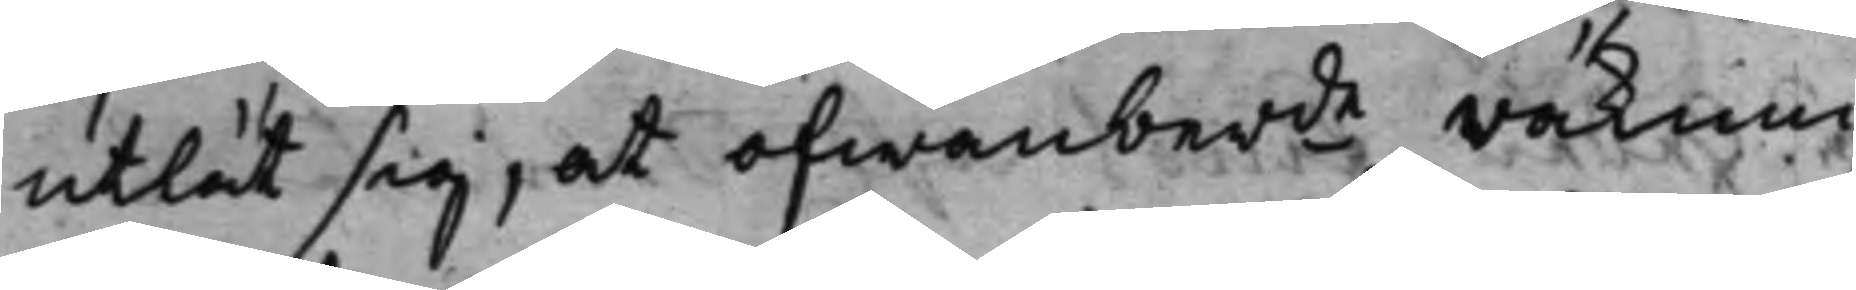utlät sig, at ofwanber.de räknni¬
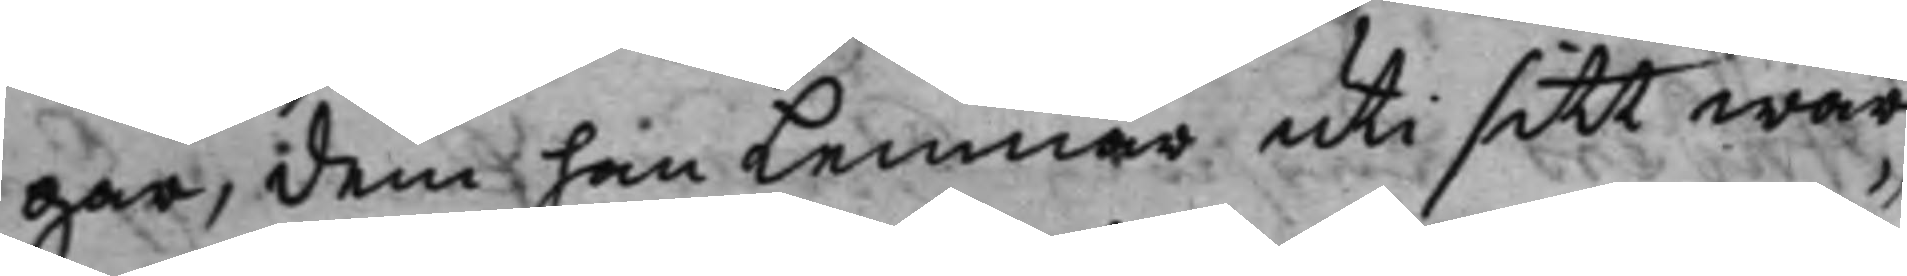gar, dem han lemnar uti sitt wär¬
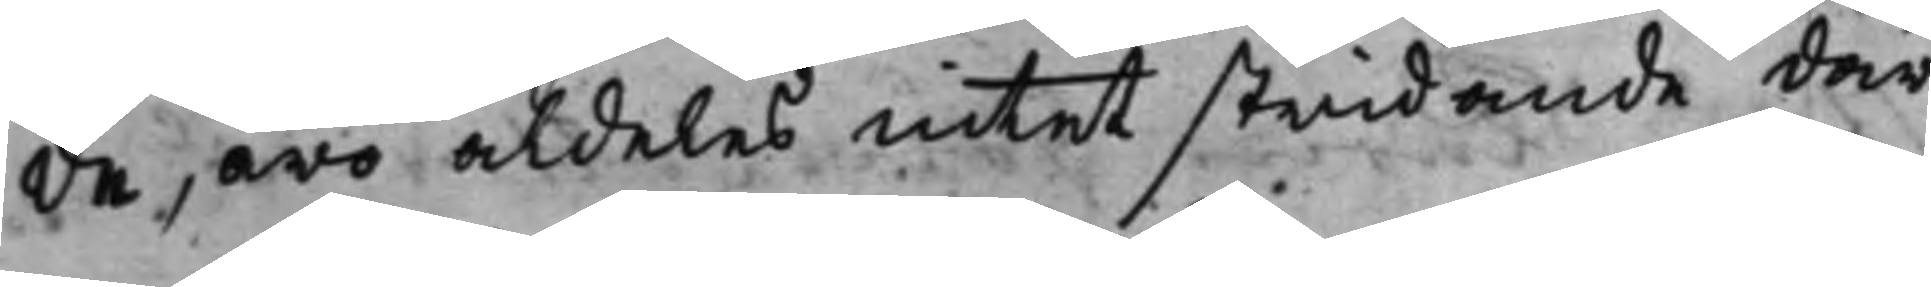de, äro aldeles intet stridande där
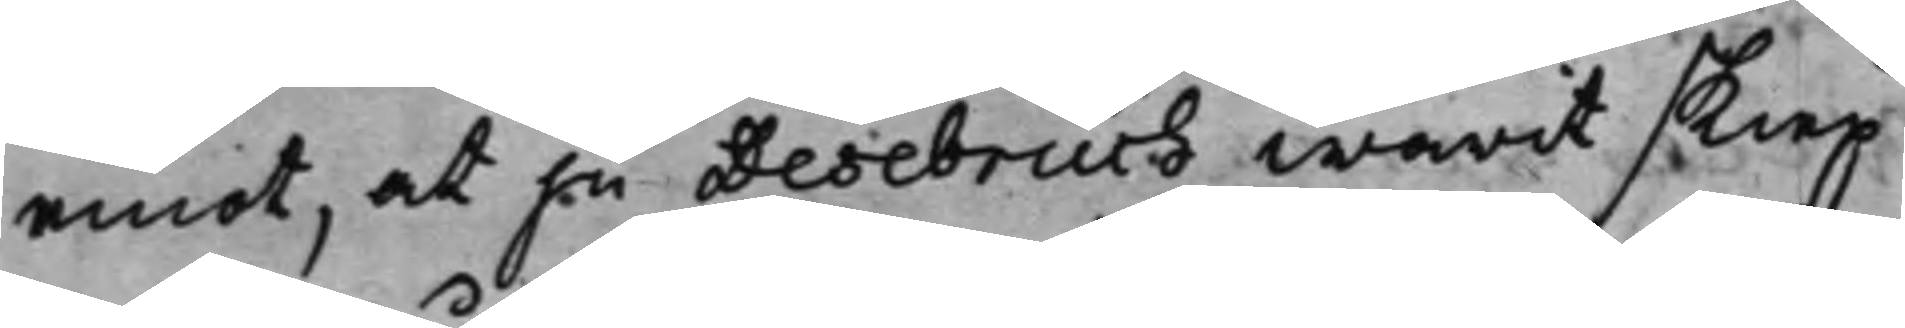emot, at ju Desebruch warit skiep¬
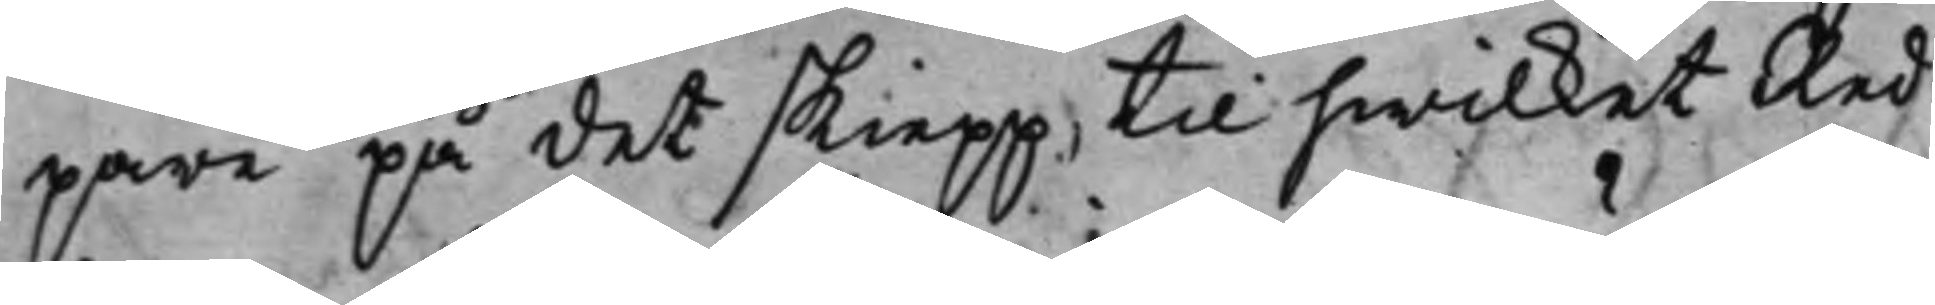pare på det skiepp, til hwilket Red¬
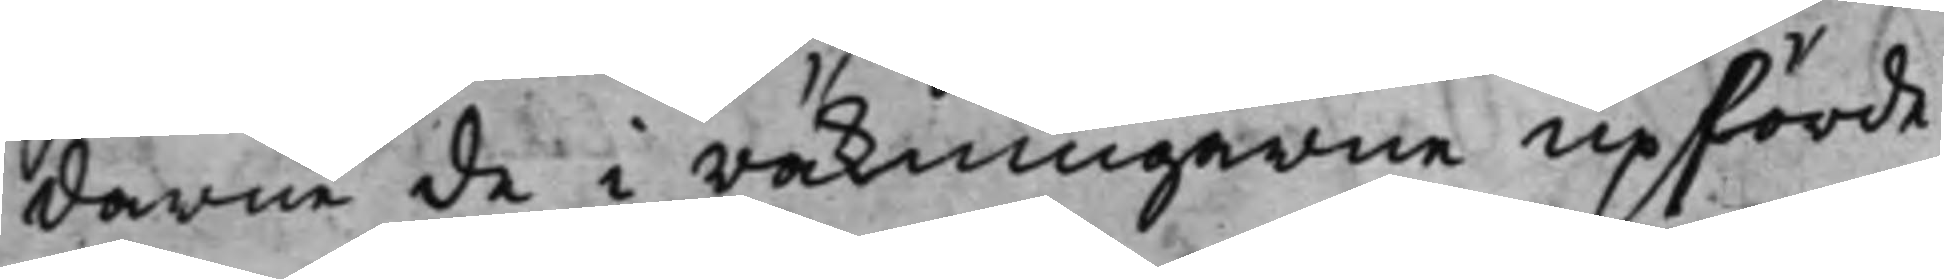darne de i räkningarne upförde
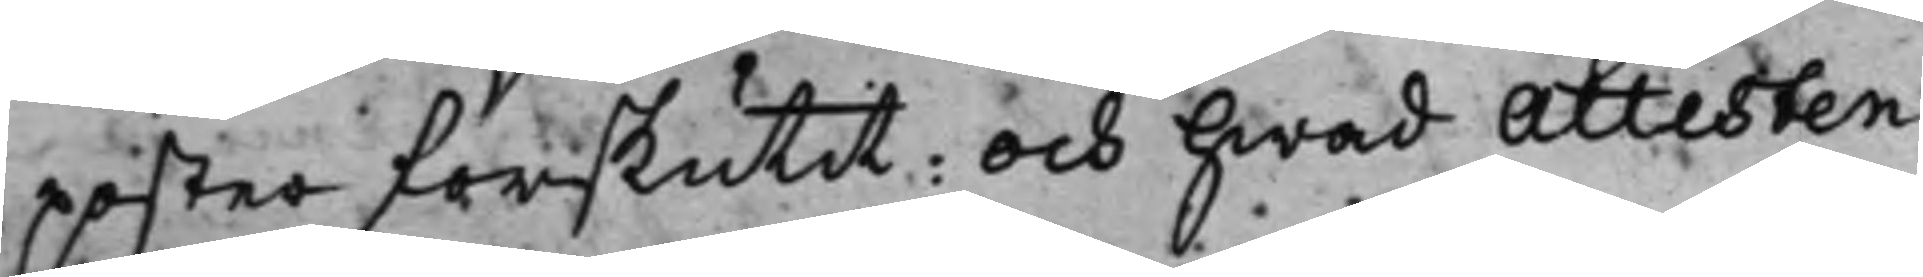poster förskutit: och hwad Attesten
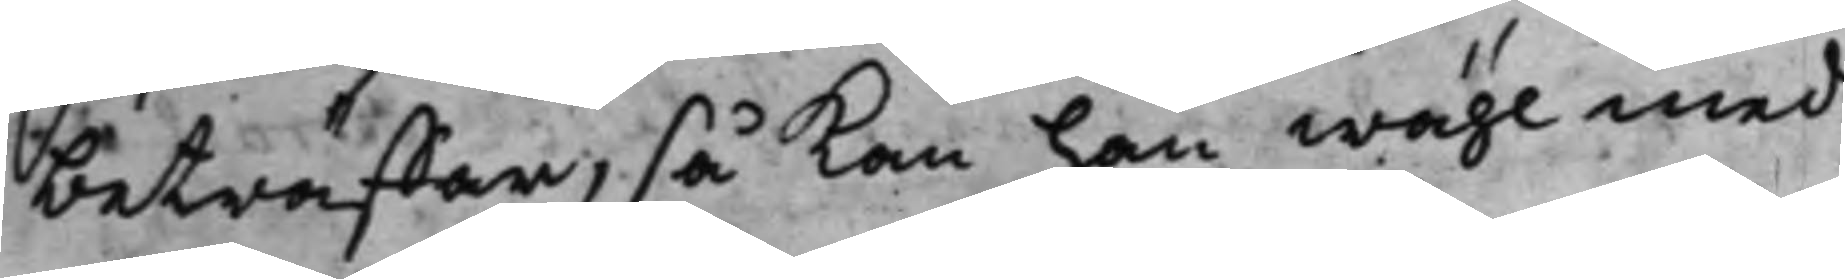beträffar, så kan han wähl med¬
